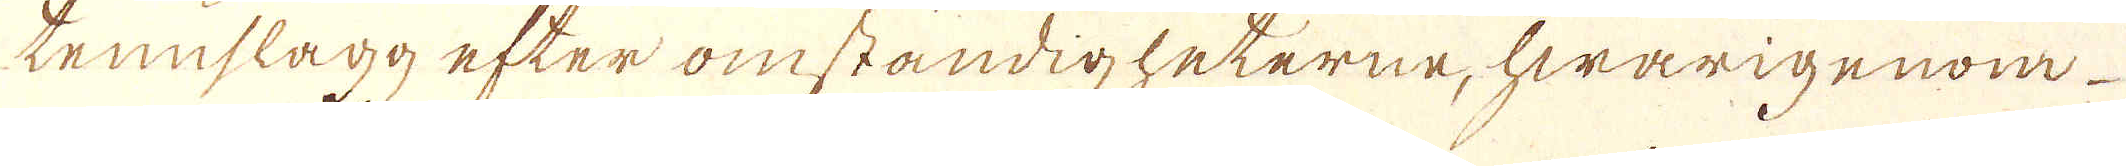tennslagg efter omständigheterne, hwarigenom
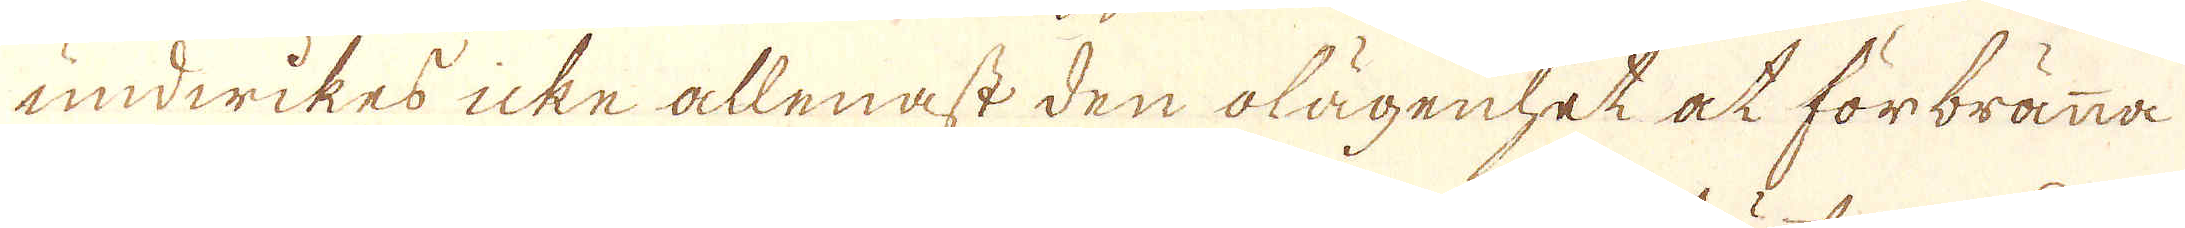undwikes icke allenast den olägenhet at förbränna
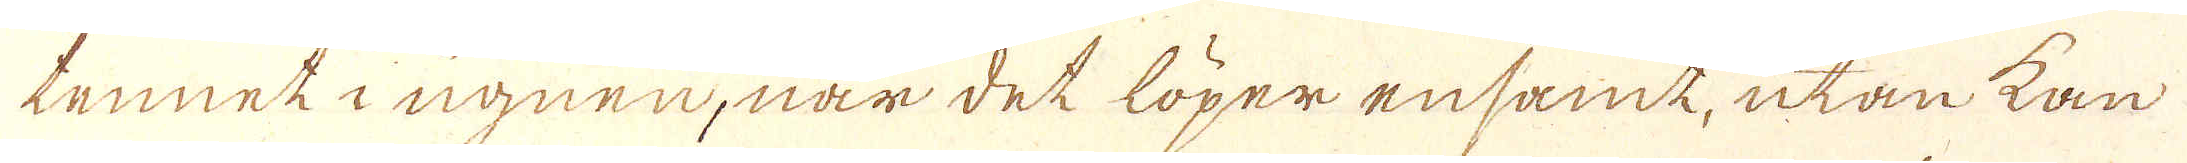tennet i ugnen, när det löper ensamt, utan kan
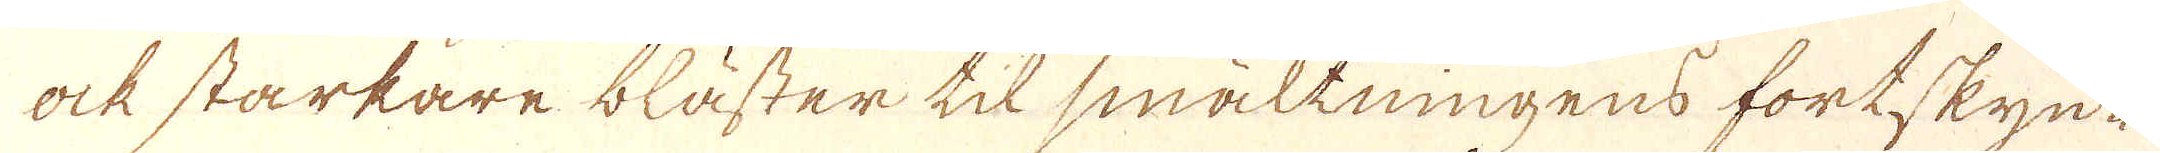ock starkare bläster til smältningens fortskyn-
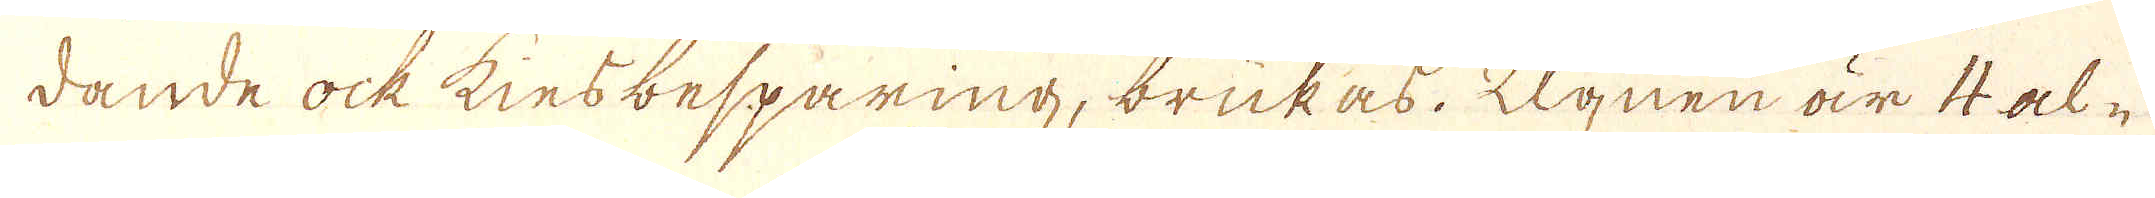dande ock kiesbesparing, brukas. Ugnen är 4 al-
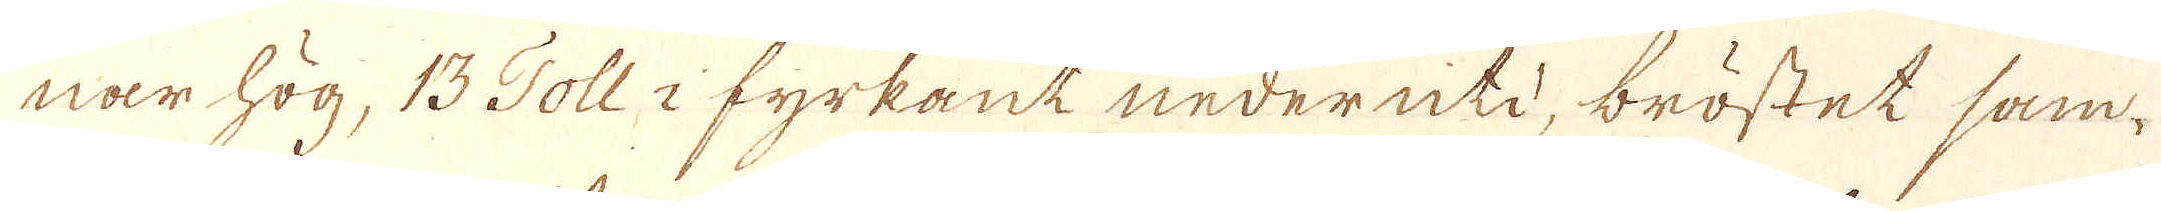nar hög, 13 Toll i fyrkant nederuti, bröstet sam-
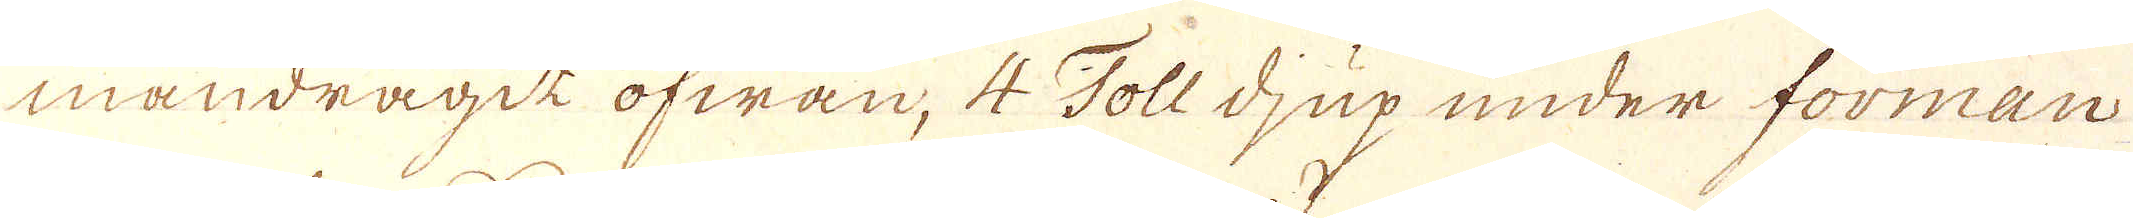mandragit ofwan, 4 Toll djup under forman
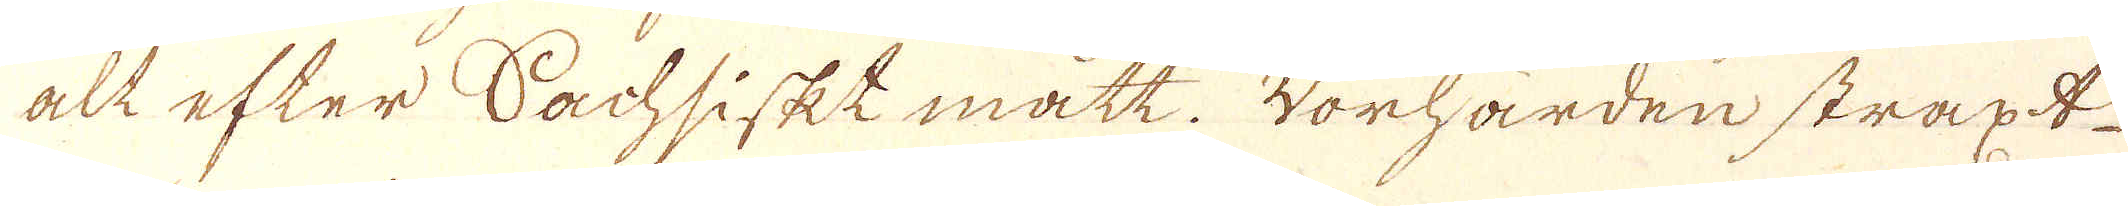alt efter Sachsiskt mått. Worhärden straxt
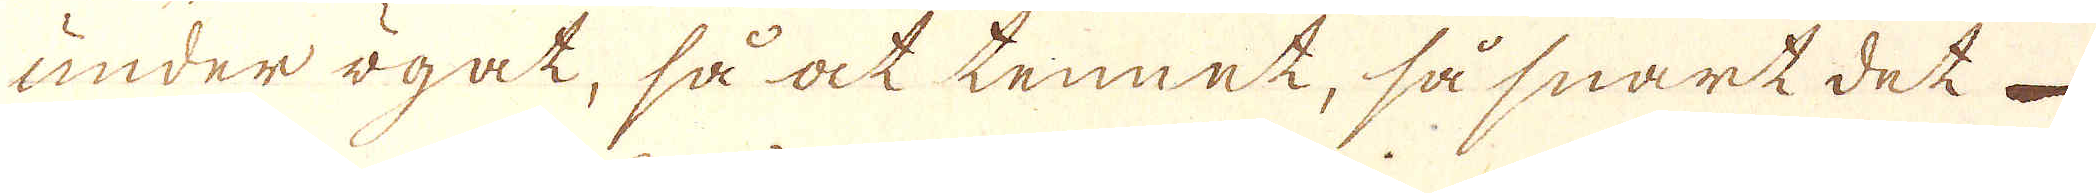under ögat, så at tennet, så snart det
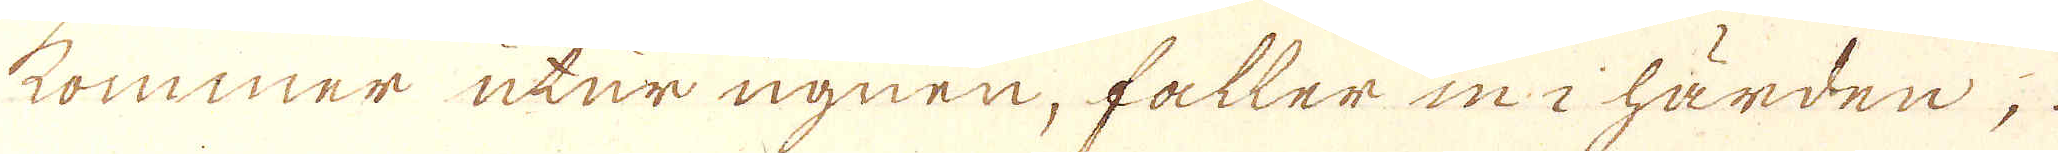kommer utur ugnen, faller in i härden;
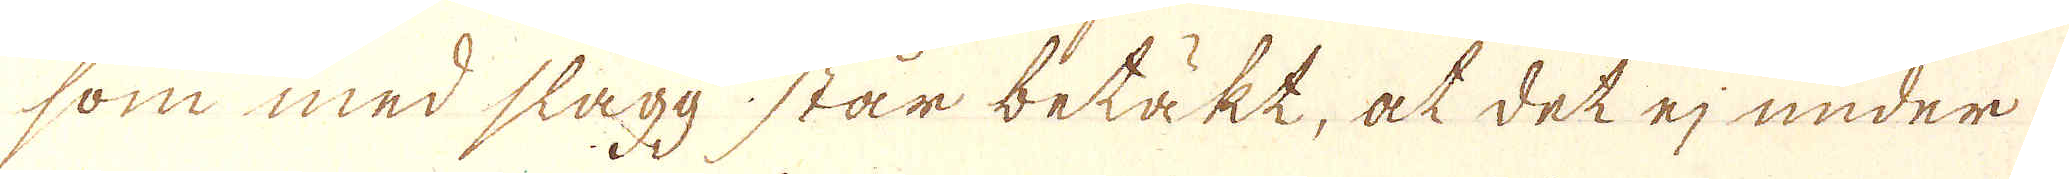som med slägg står betäkt, at det ej under
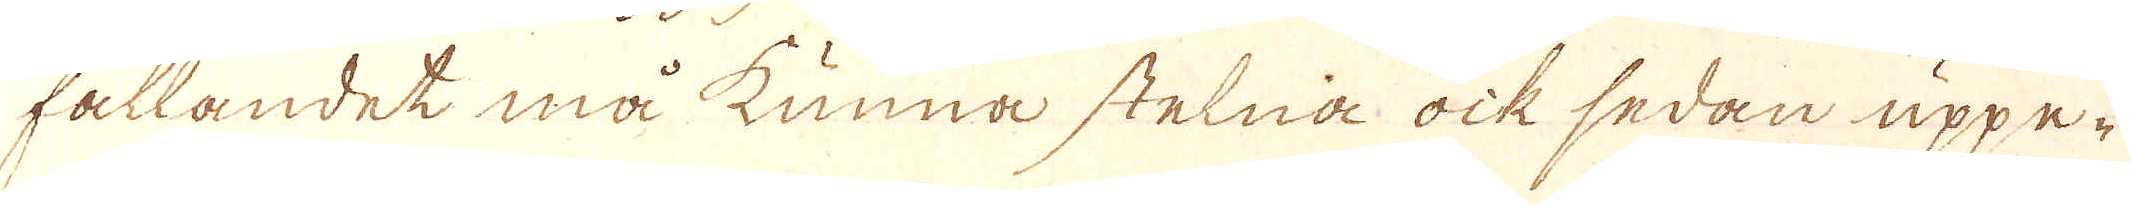fallandet må kunna stelna ock sedan uppe-
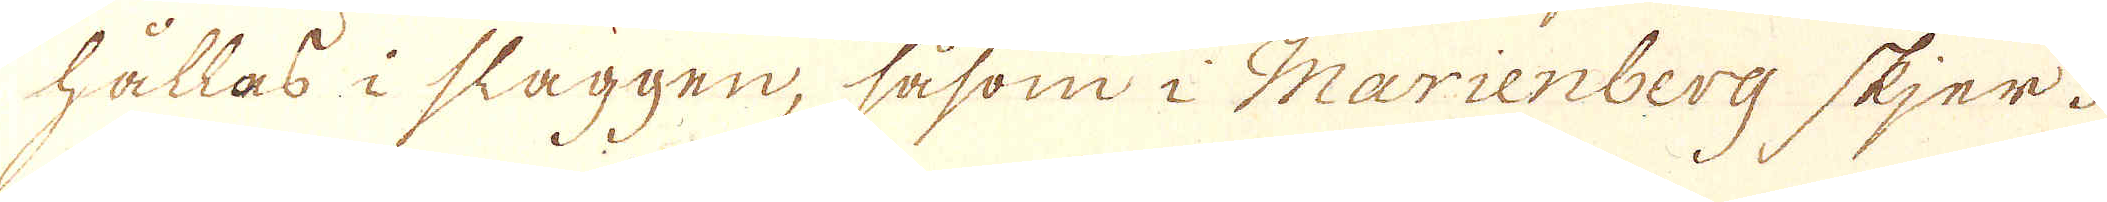hållas i slaggen, såsom i Marienberg skjer.
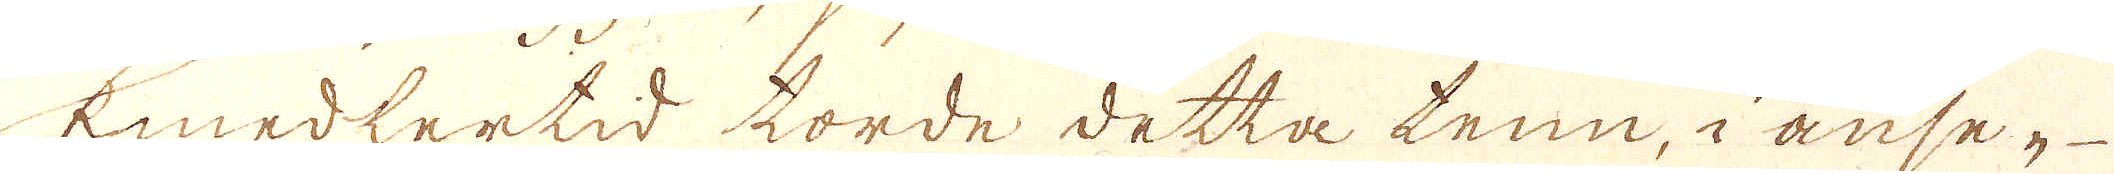Emedlertid torde detta tenn, i anseg-
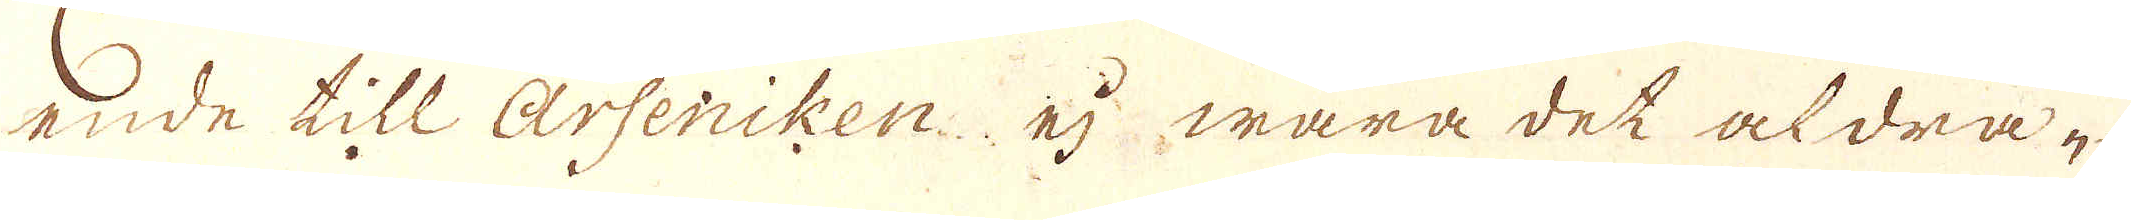ede till Arseniken, ej wara det aldrae
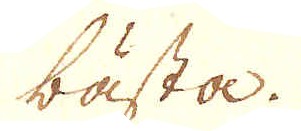bästa.
